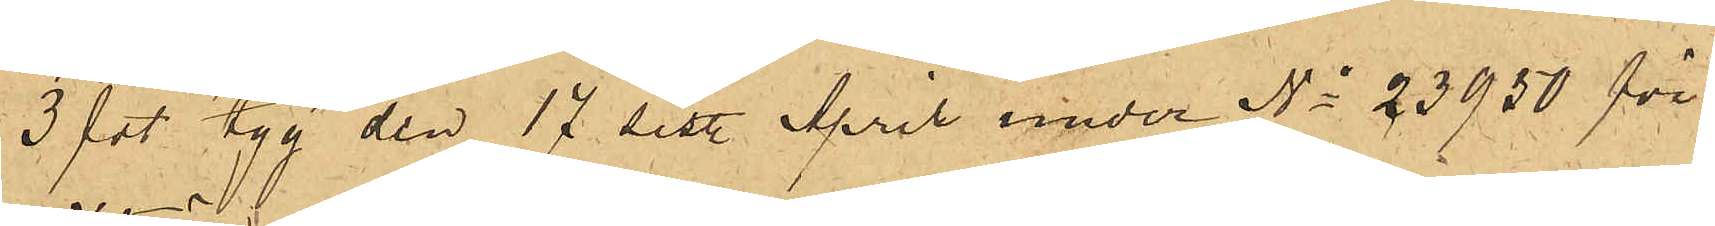3 fot tyg den 17 sist. April under No 23950 för
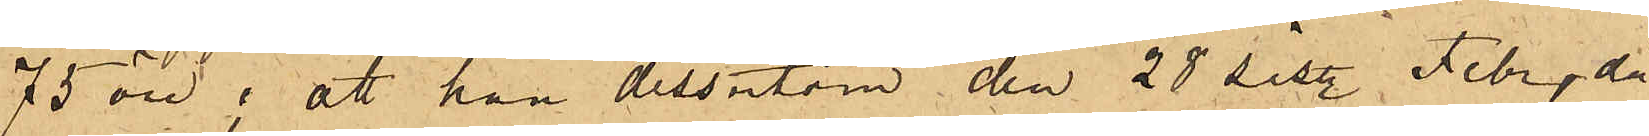75 öre; att han dessutom den 28 sist. Febr, då
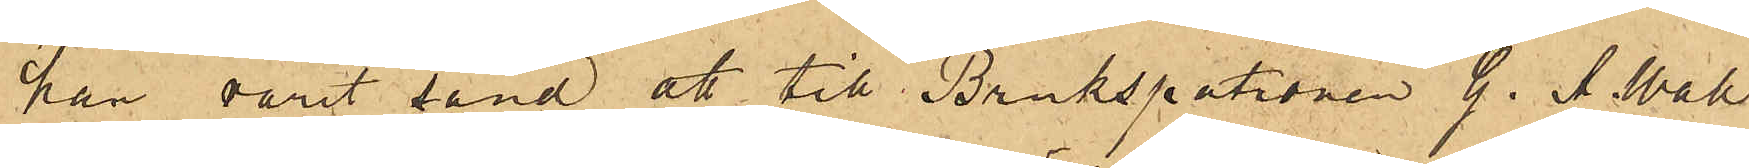han varit sänd att till Brukspatronen G. A. Wall
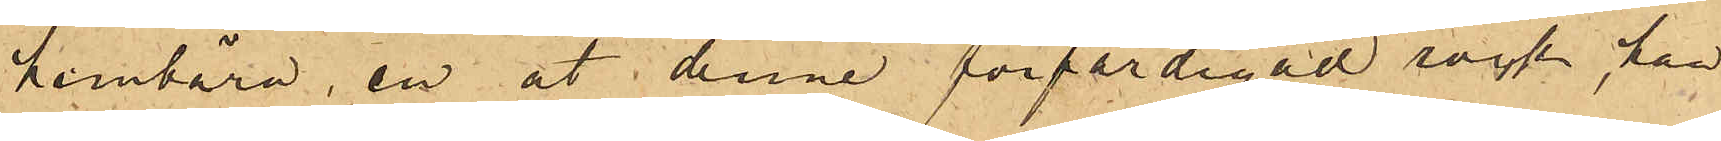hembära, en åt denne förfärdigad rock, han
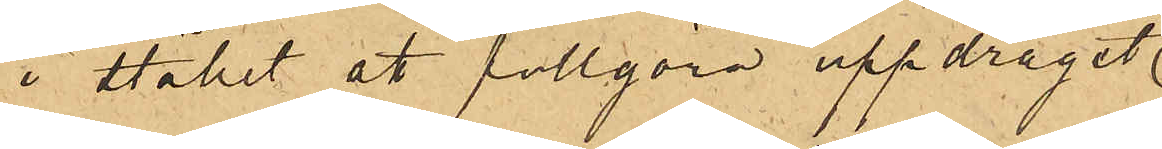i stället att fullgöra uppdraget
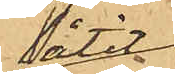låtit
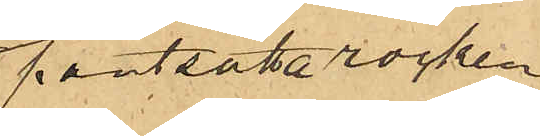pantsätta rocken
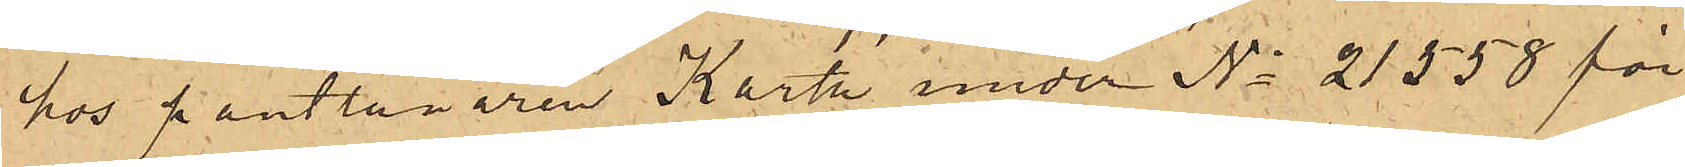hos pantlånaren Karth under No 21558 för
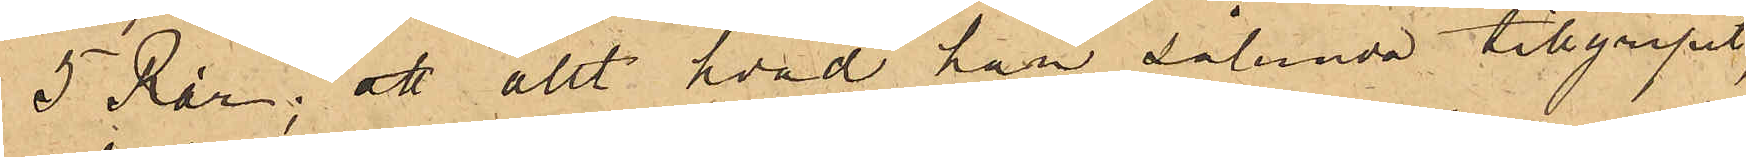5 Rdr; att allt hvad han sålunda tillgripit,
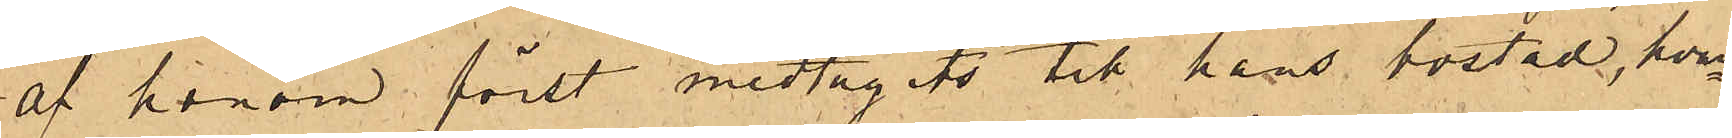af honom först medtagits till hans bostad, hvar¬
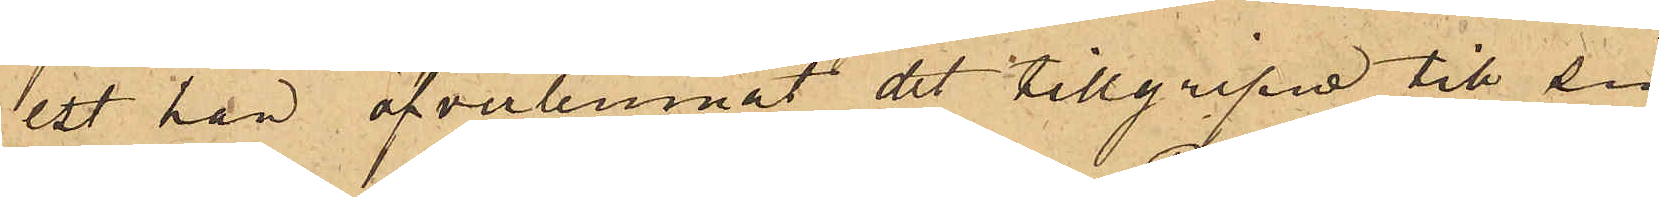est han öfverlemnat det tillgripne till sin
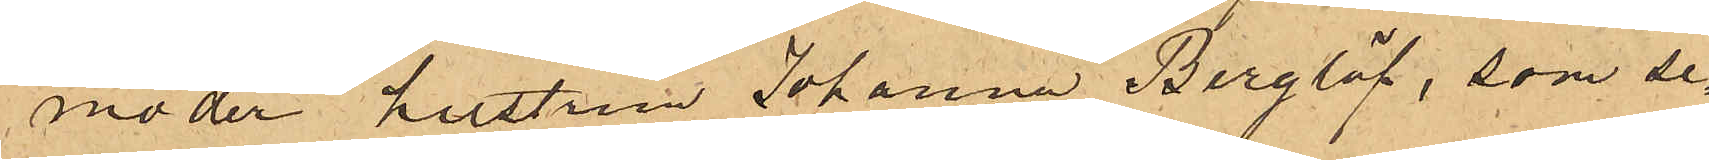moder hustrun Johanna Berglöf, som se¬
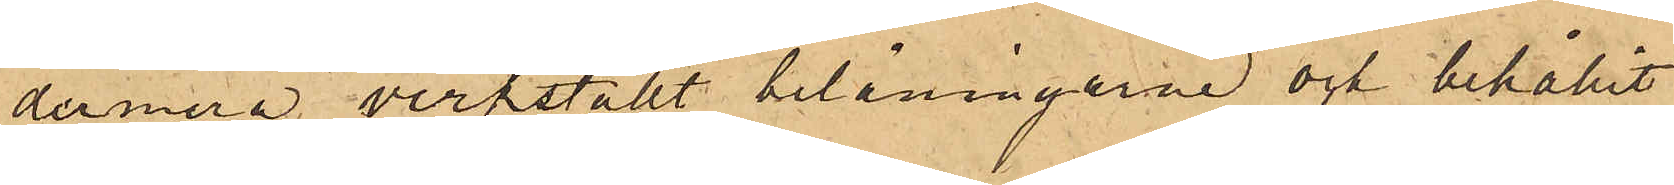dermera verkställt belåningarne och behållit
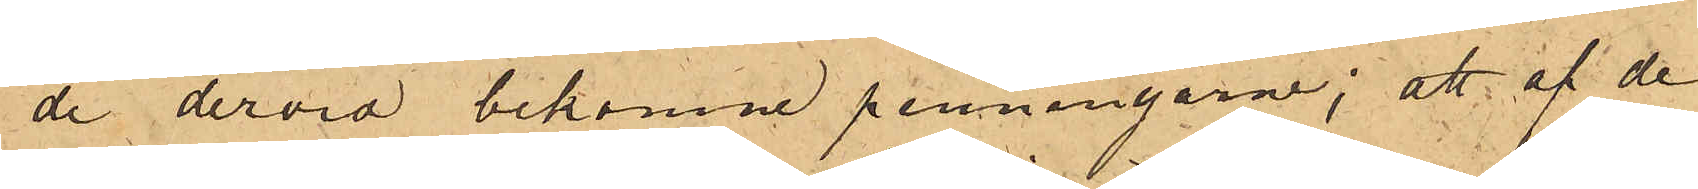de dervid bekomne penningarne; att af de
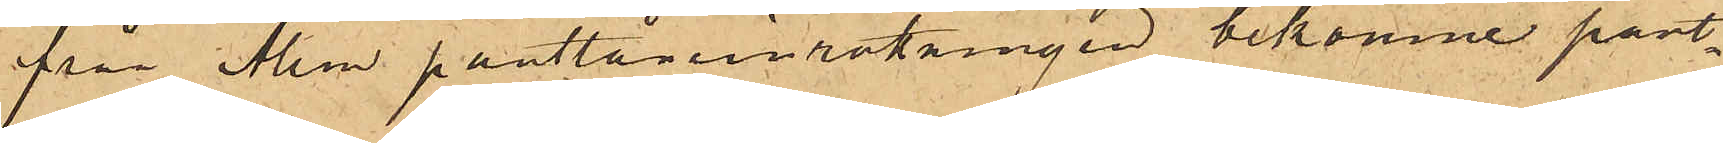från Allm pantlåneinrättningen bekomne pant¬
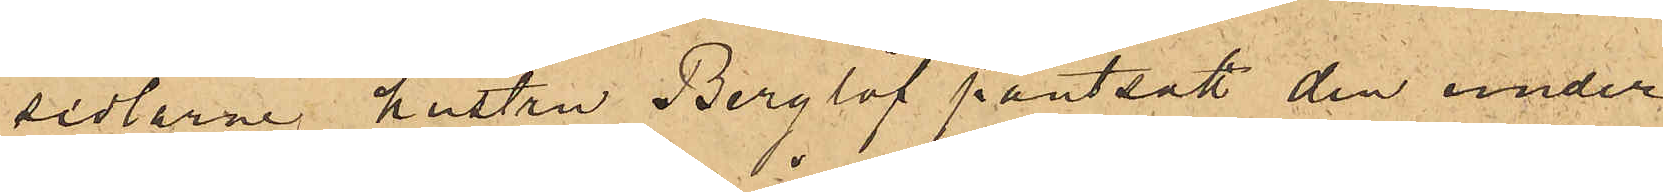sedlarne hustru Berglöf pantsatt den under
